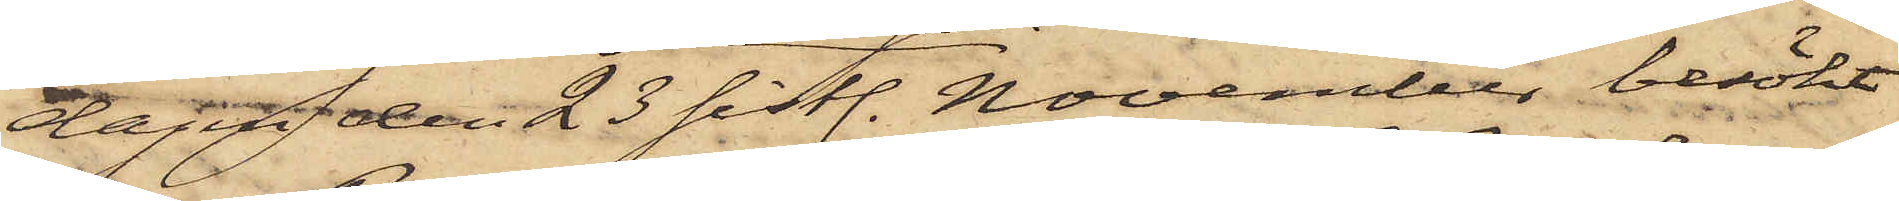dagen den 23 sistl. November besökt
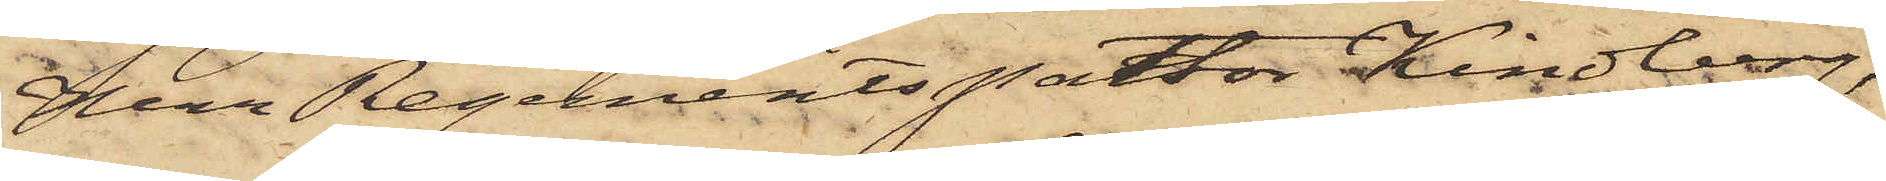Herr Regenmentspastor Kindberg,
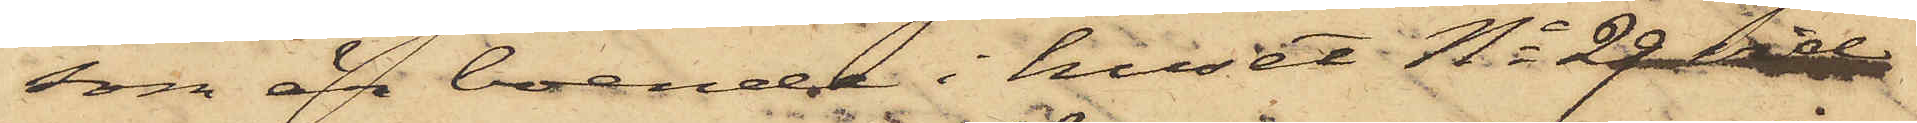som är boende i huset No 29 vid
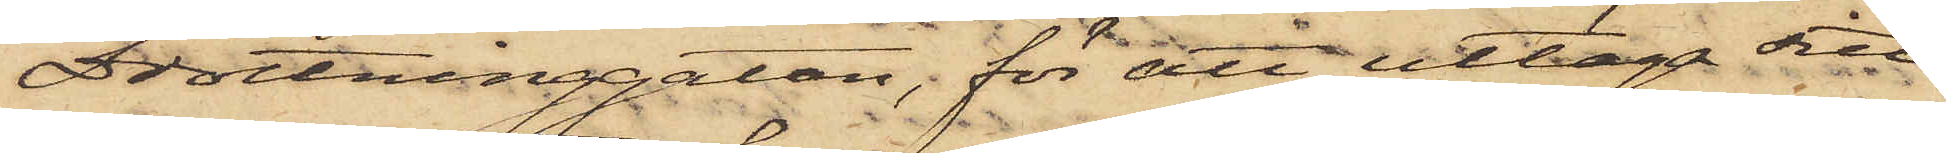Drottninggatan, för att uttaga sitt
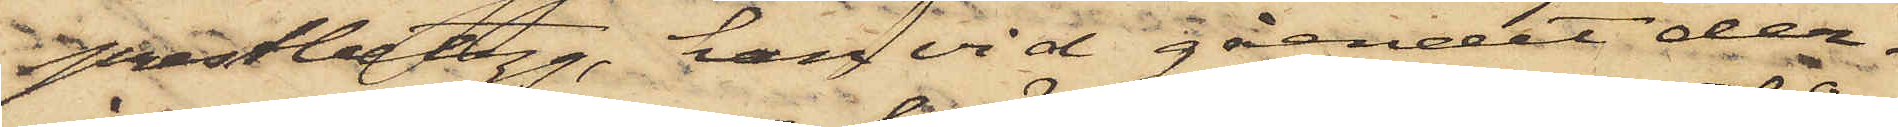prestbetyg, han vid gåendet der¬
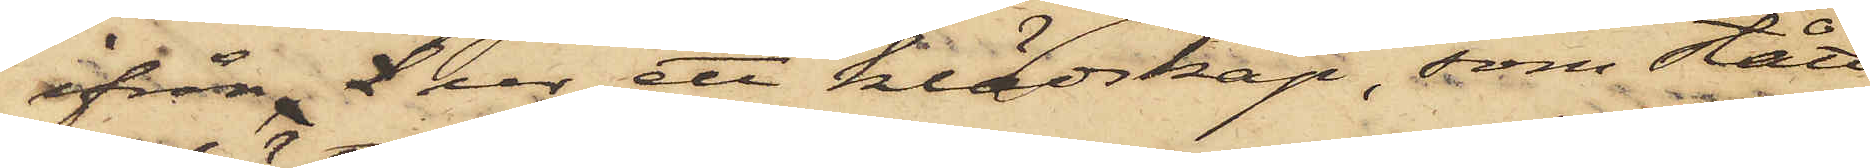ifrån, l ur ett klädskåp, som stått
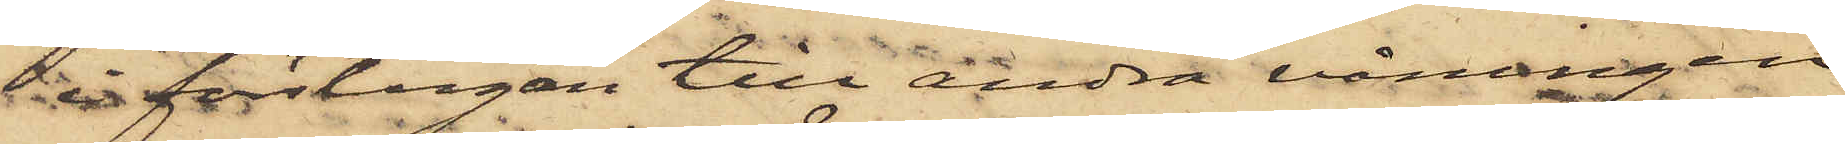till förstugan till andra våningen
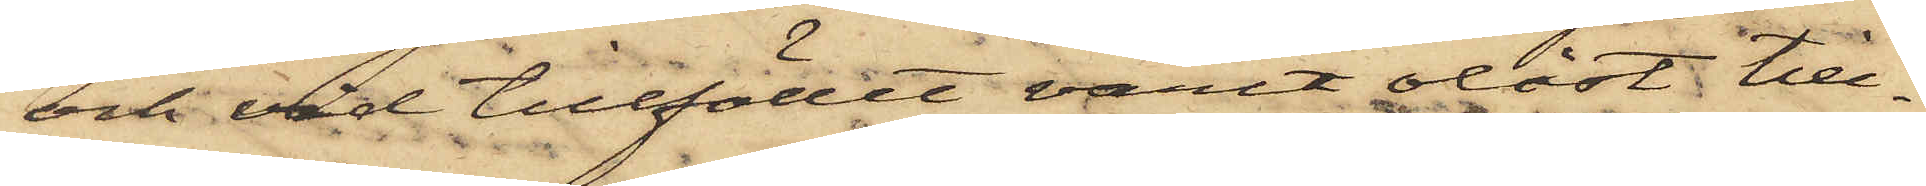och vid tillfället varit olåst till¬
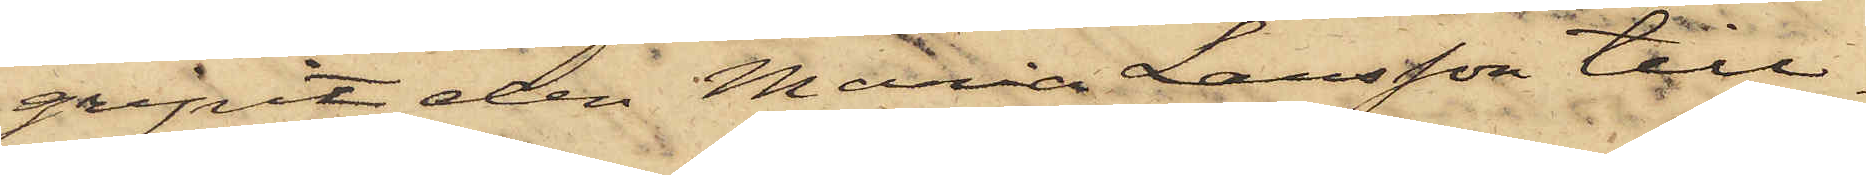gripit den Maria Larsson till¬
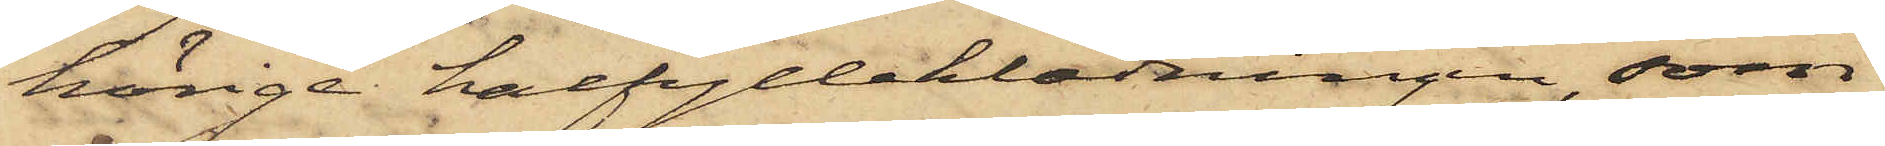hörige halfylleklädningen, som
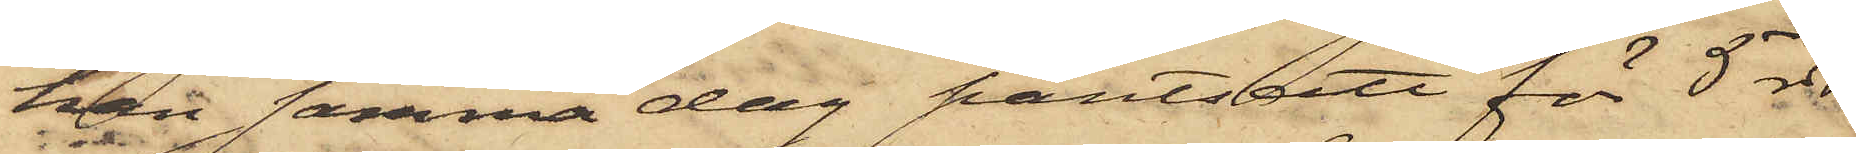han samma dag pantsatt för 5 rdr
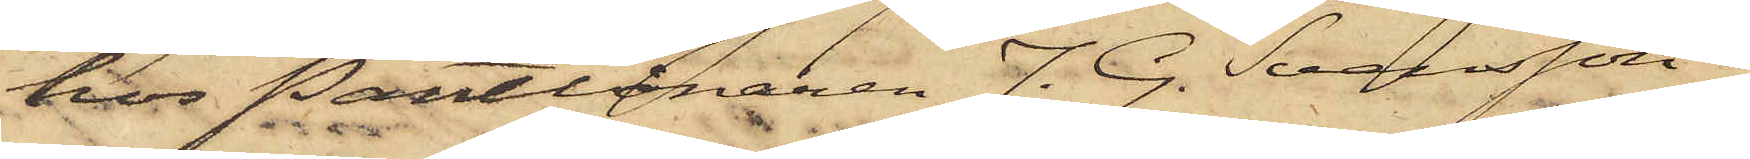hos Pantlånaren J. G. Svensson i
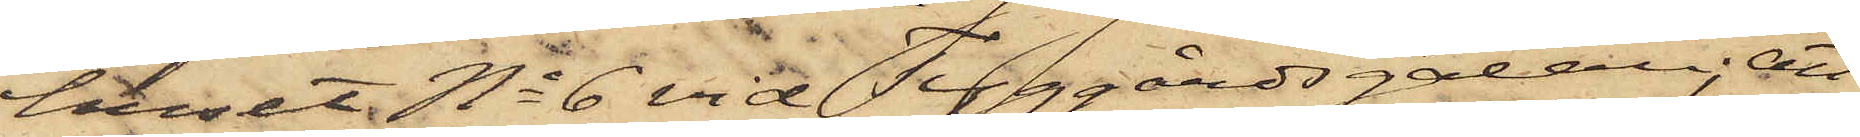huset No 6 vid Tyggårdsgatan; att
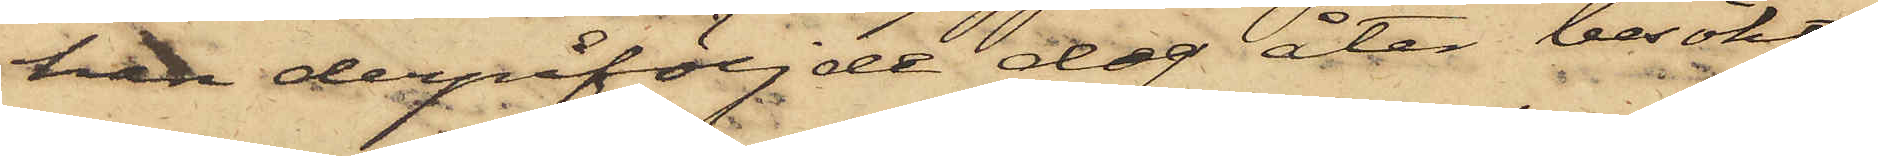han derpåföljde dag åter besökt
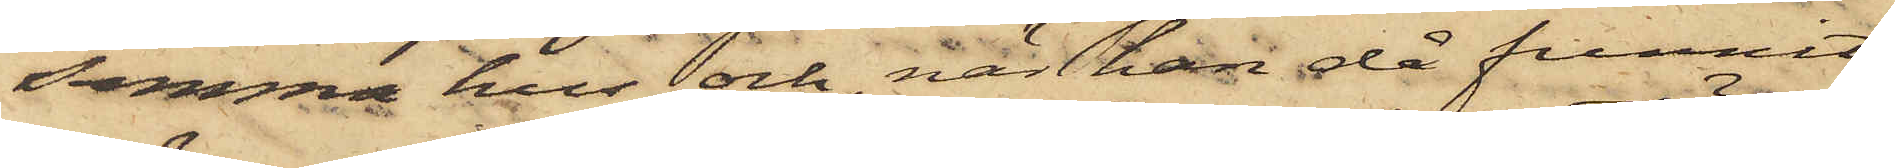samma hus och, när han då funnit
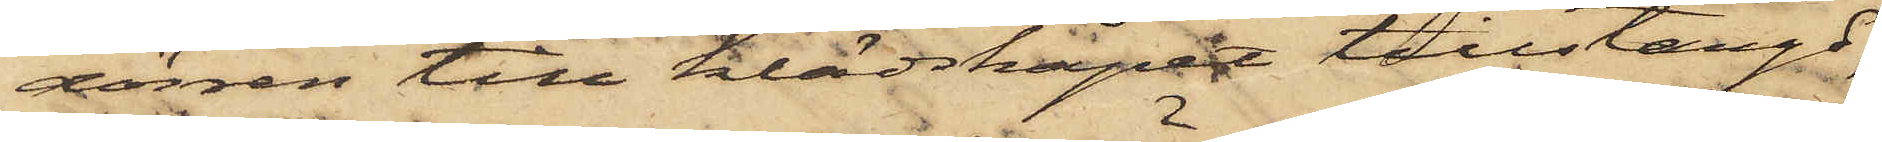dörren till klädskåpet tillstängd,
